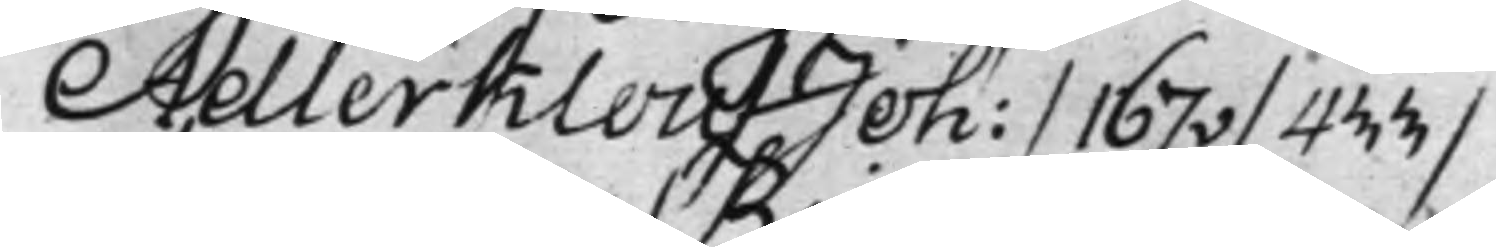Adlerklou / Joh: / 167v / 433 /
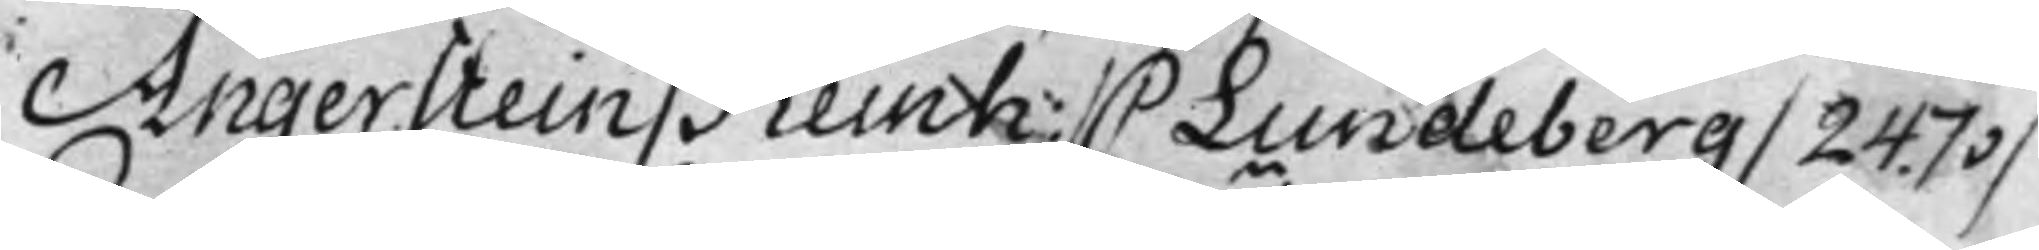Angerstein / Reinh: / C Lundeberg / 247v /
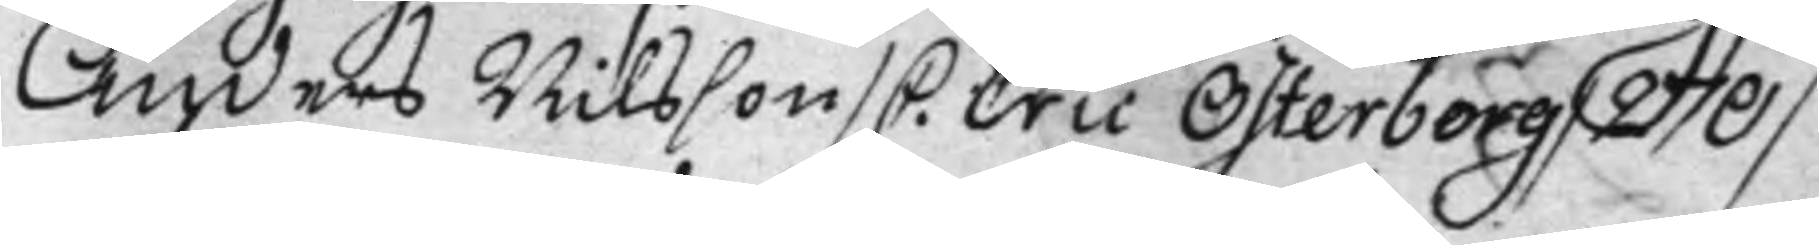Anders Nilsson / C. Eric Österberg / 270 /
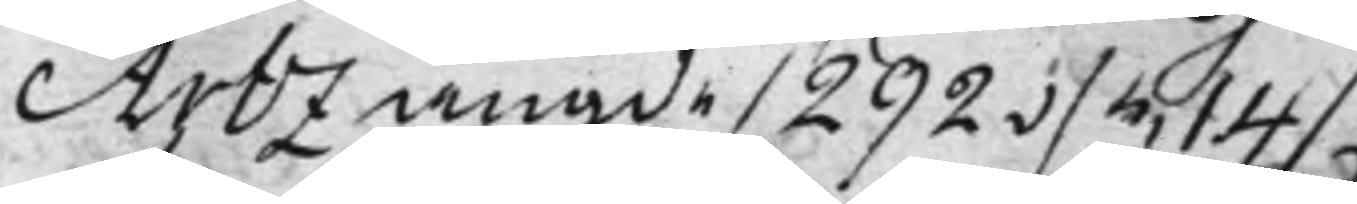Arbz angde / 292 v / 514 /
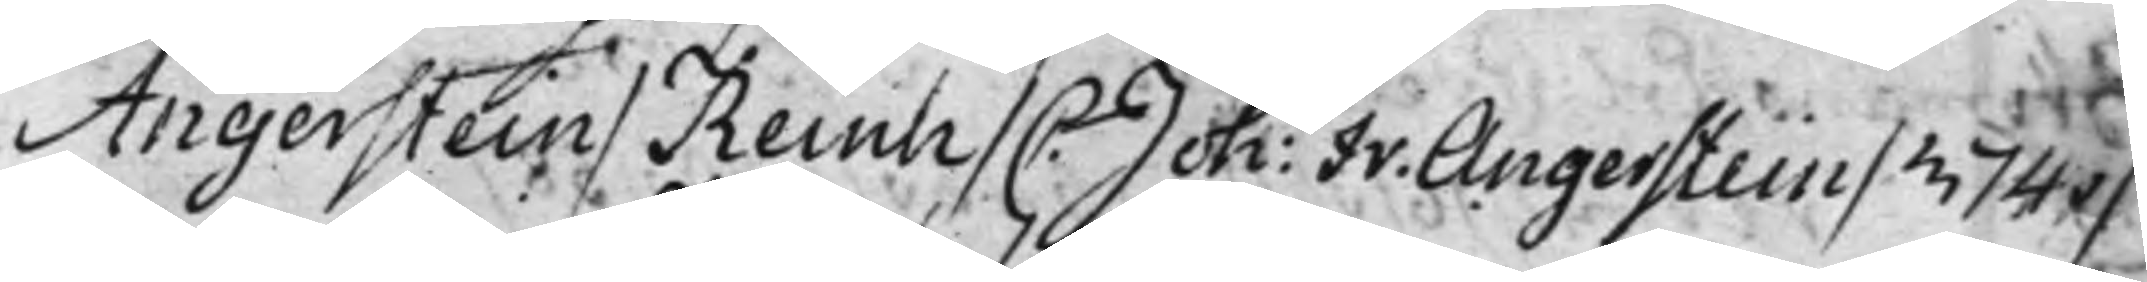Angerstein / Reinh / C. Joh: Fr. Angerstein / 374v /
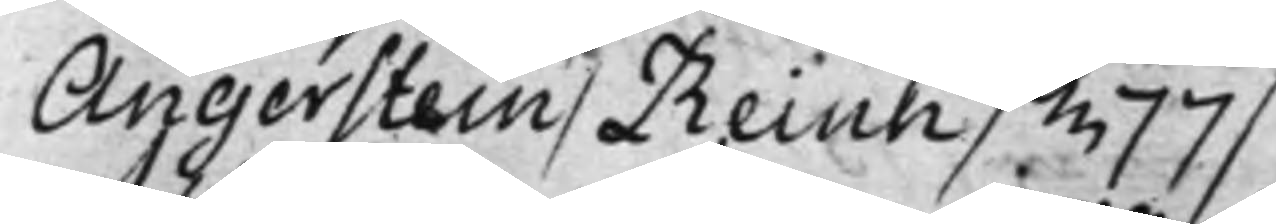Angerstein / Reinh / 377 /
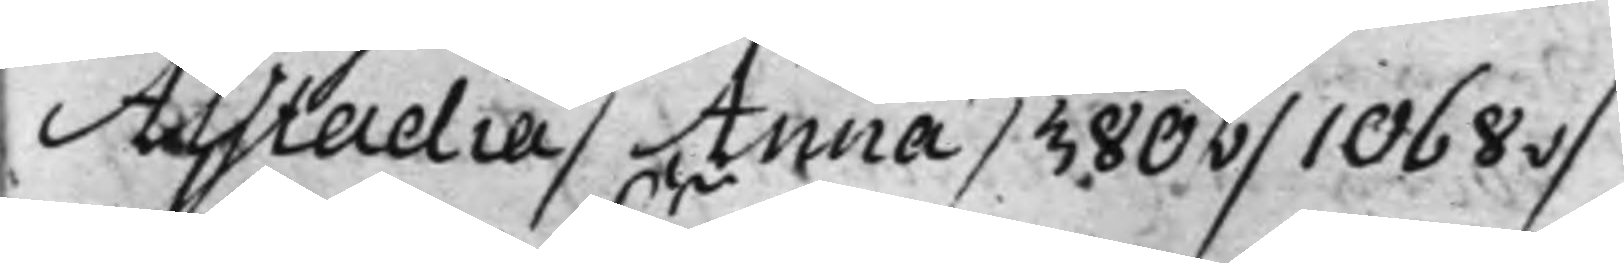Alstadia / Anna / 380v / 1068v /
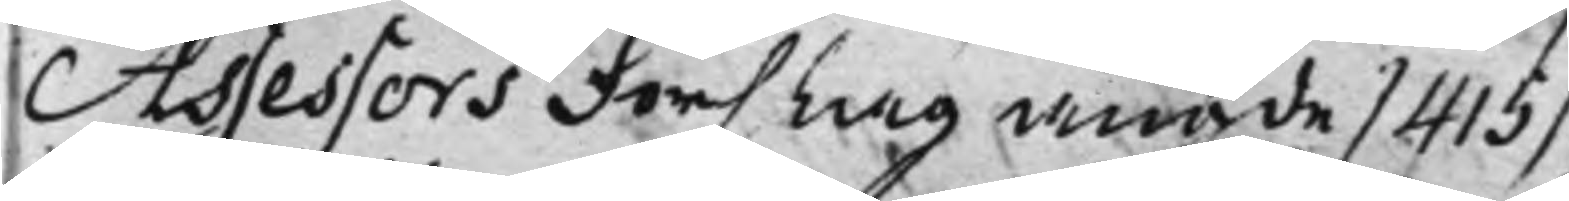Assessors Förslag angde / 415 /
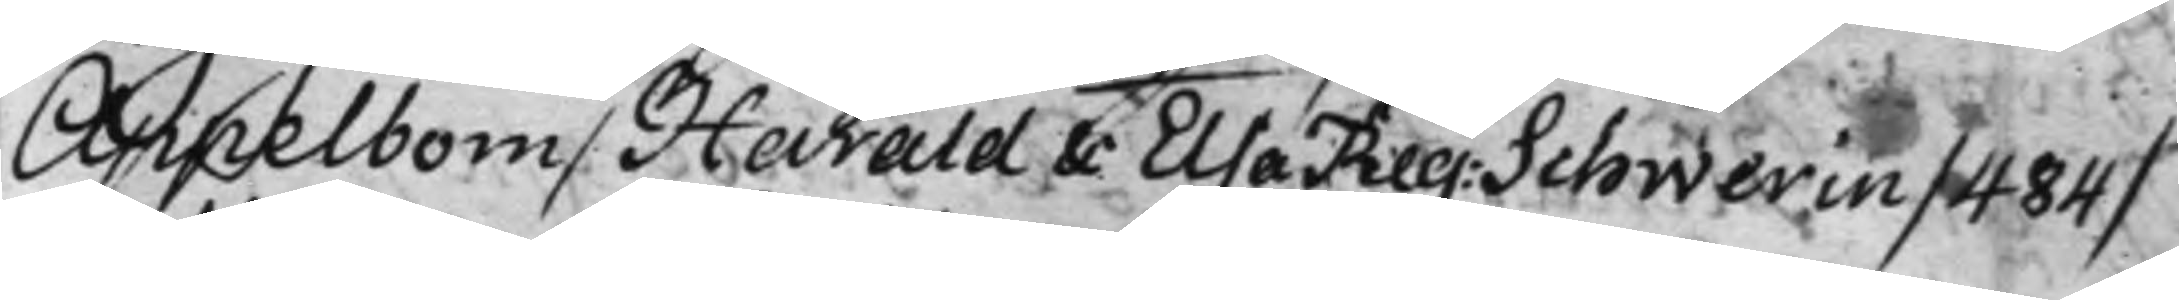Appelbom / Harald & Elsa Reg: Schwerin / 484 /
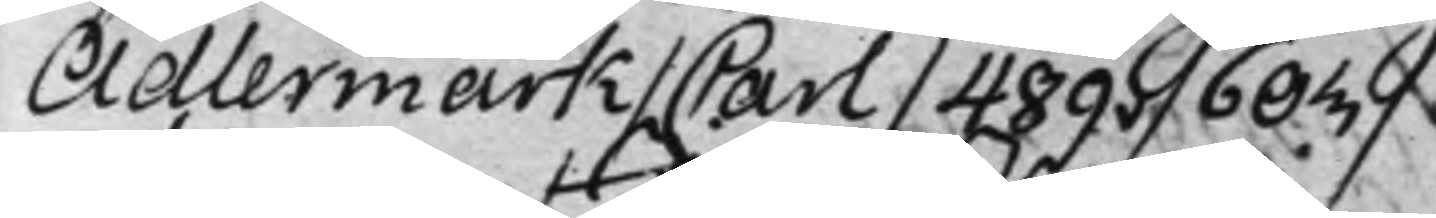Adlermark / Carl / 489v / 603 /
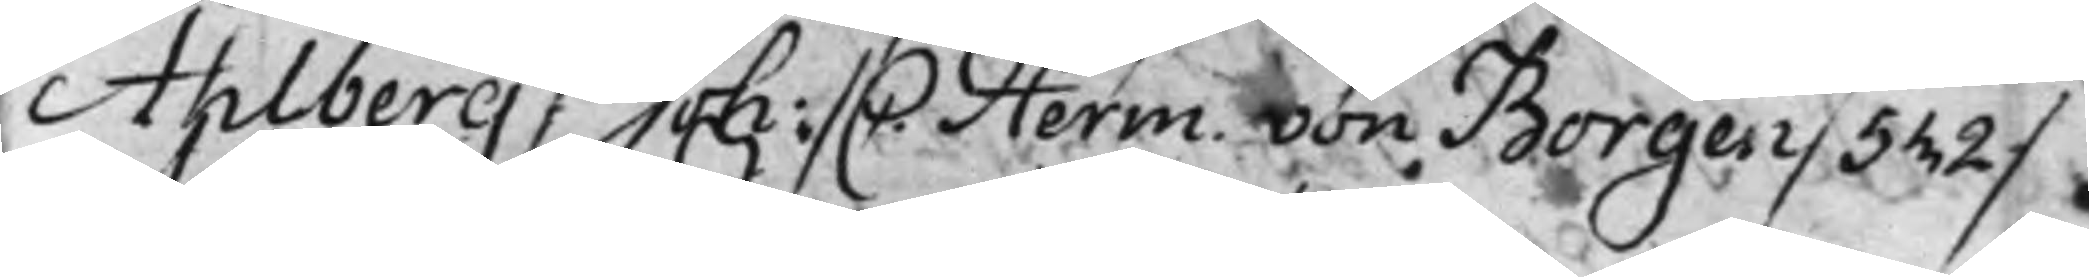Ahlberg / Joh: / C. / Herm. von Borgen / 532 /
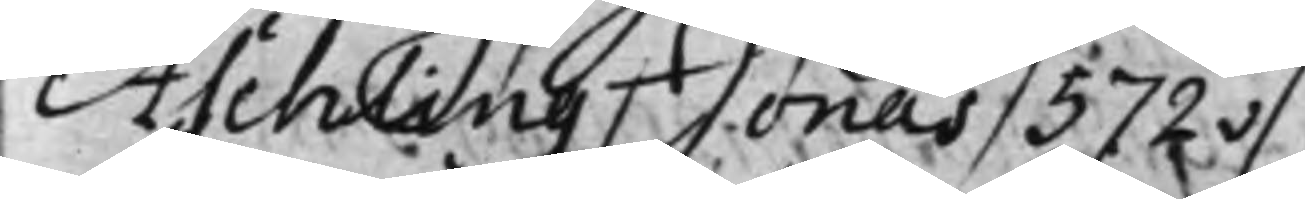Aschling / Jonas / 572v /
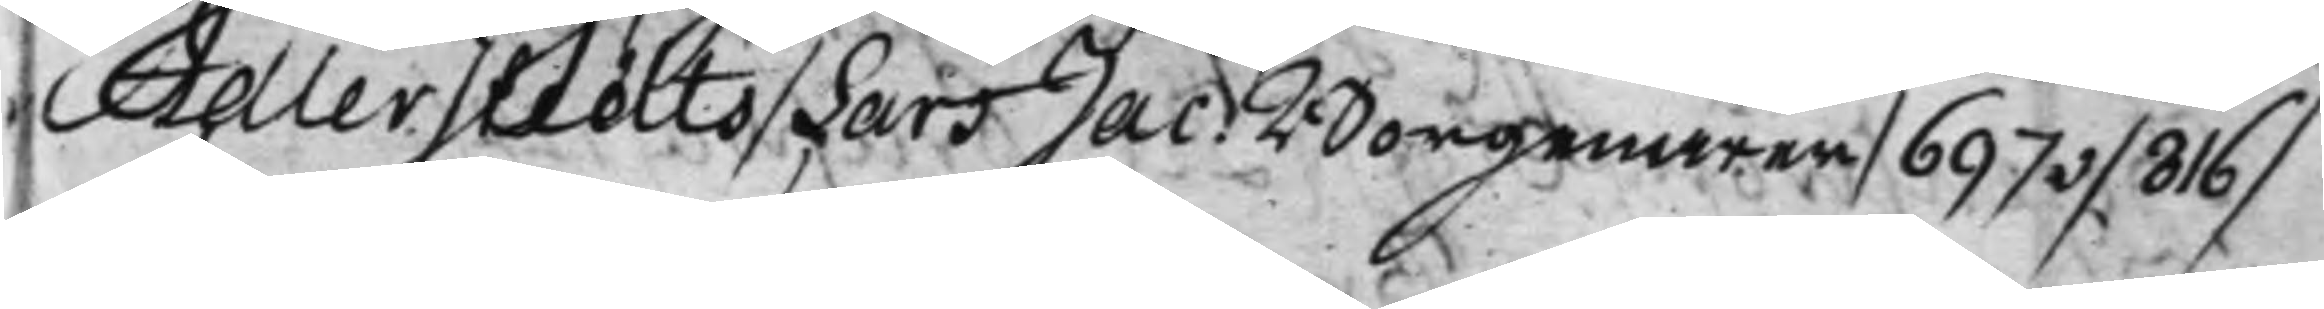Adlerstedts / Lars Jac. Borgenärer / 697v / 316 /
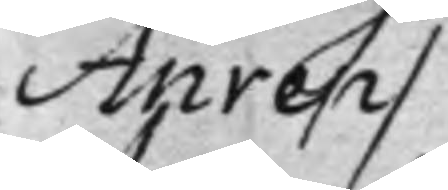Anrep /
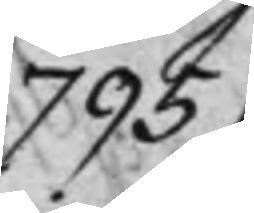795
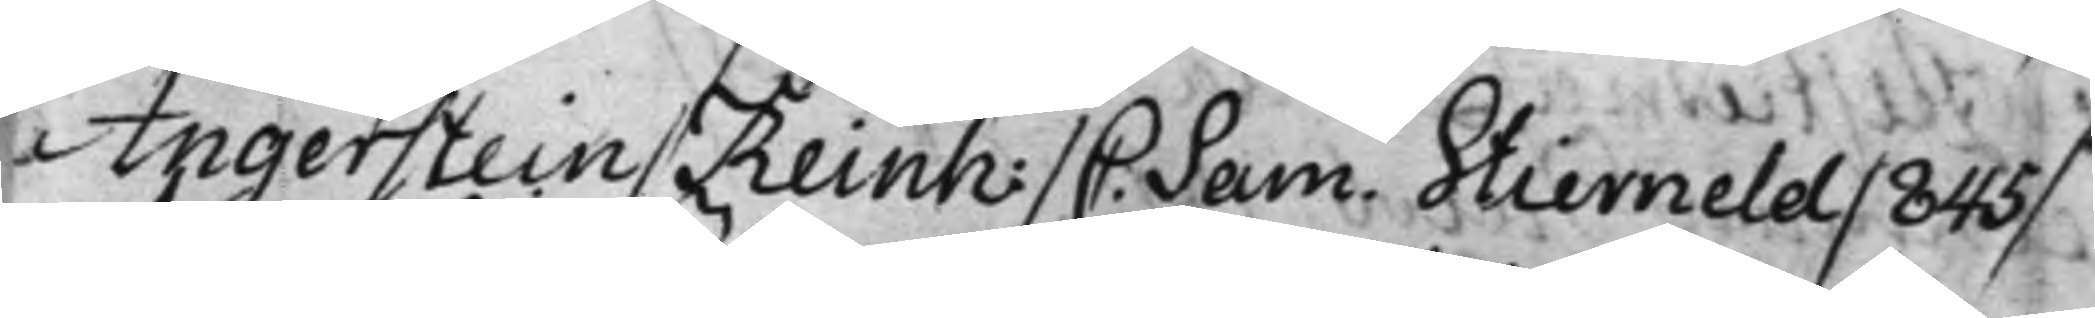Angerstein / Reinh: / C. Sam. Stierneld / 845 /
